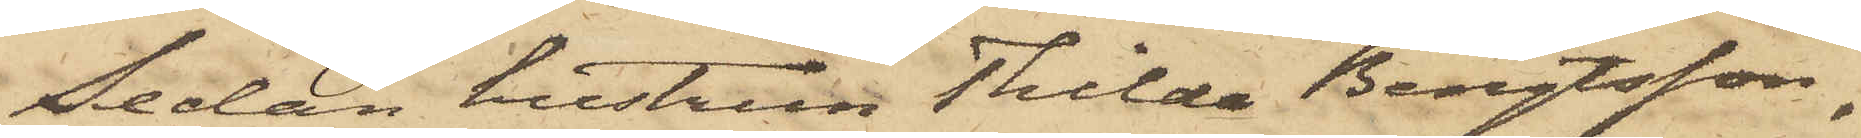Sedan hustrun Thilda Bengtsson,
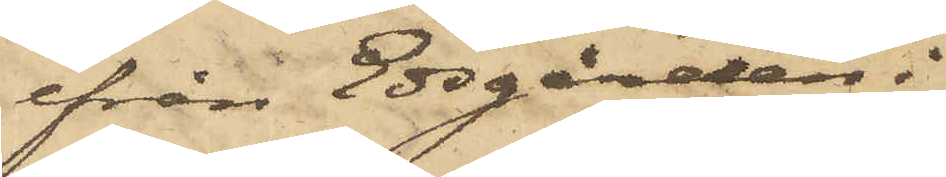ifrån Edsgården i
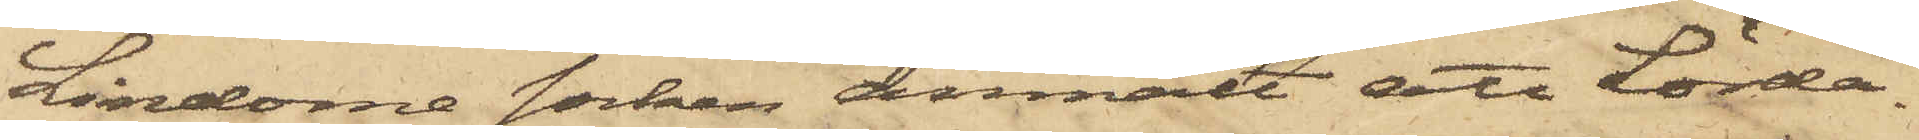Lindome socken anmält att Lörda¬
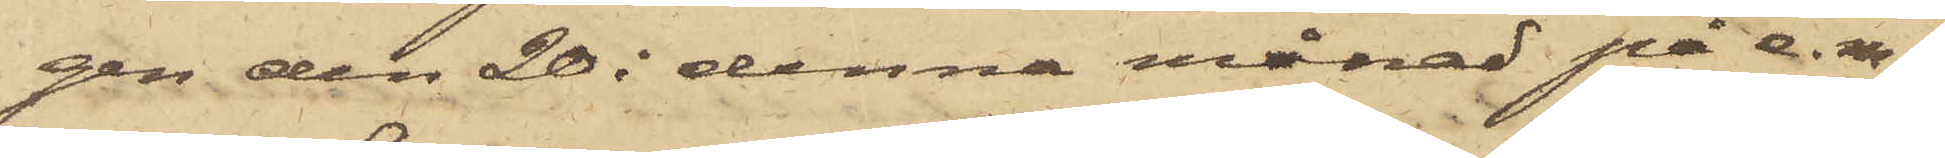gen den 20 i denna månad på e.m.
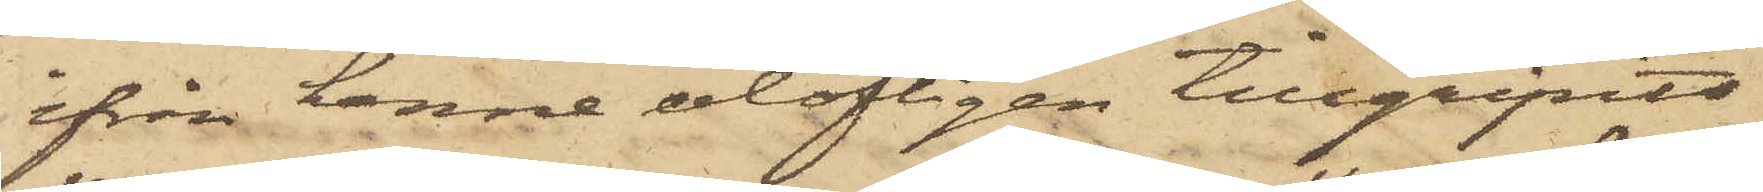ifrån henne olofligen tillgripits
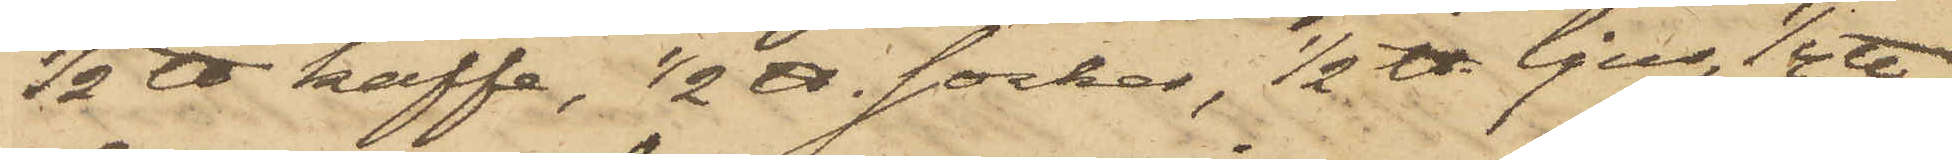1/2 ℔ kaffe, 1/2 ℔ socker, 1/2 ℔ ljus, 1/4 ℔
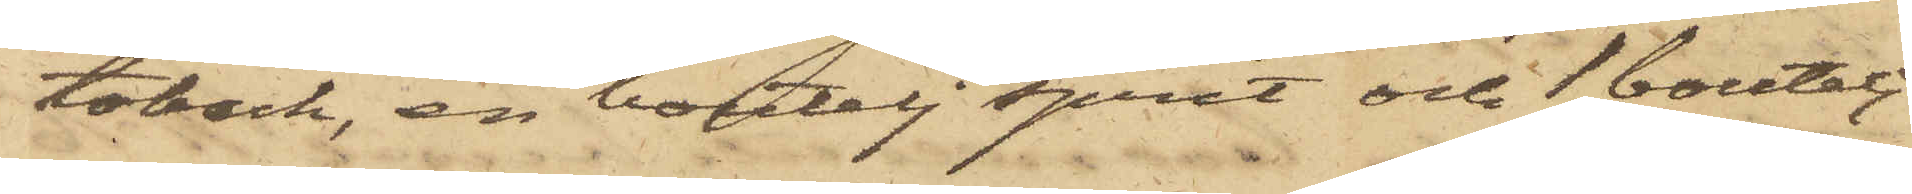toback, en boutelj sprit och 1 boutelj
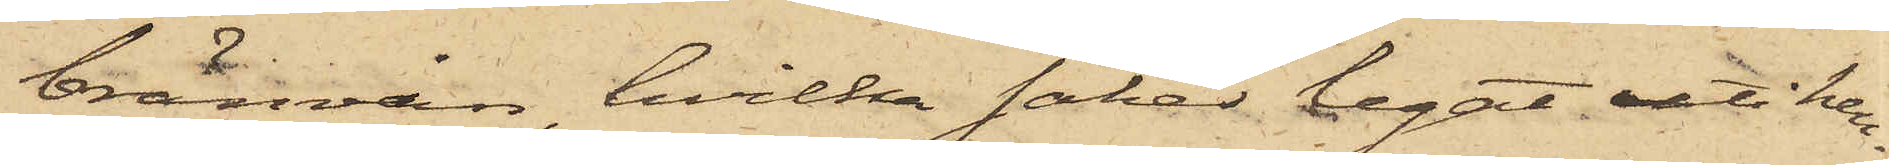bränvin, hvilka saker legat uti hen¬
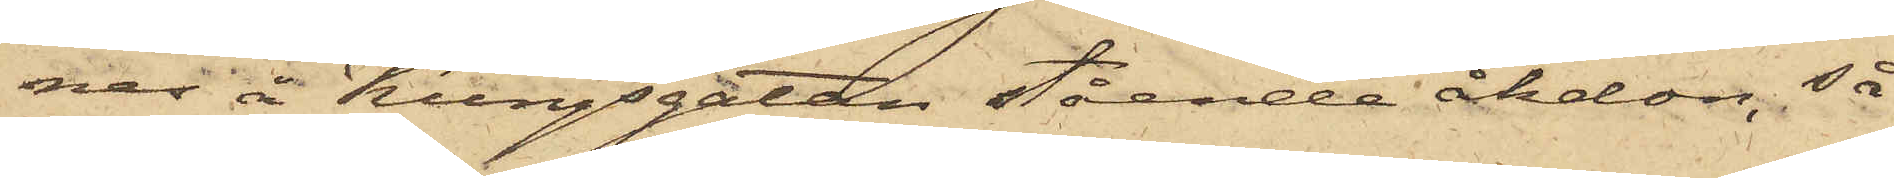nes i Kungsgatan stående åkdon, så
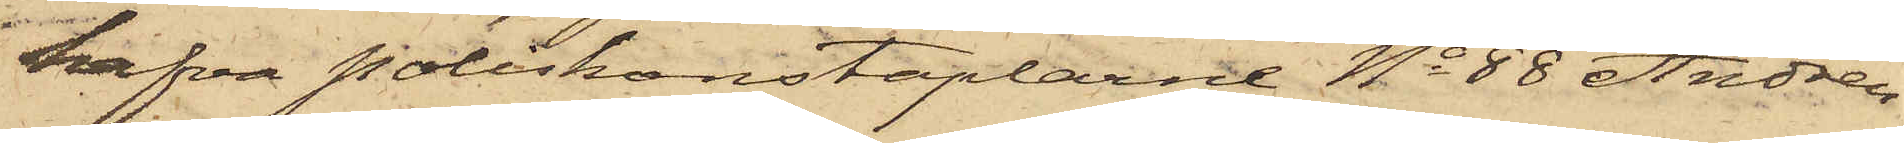hafva Poliskonstaplarne No 88 Andrén
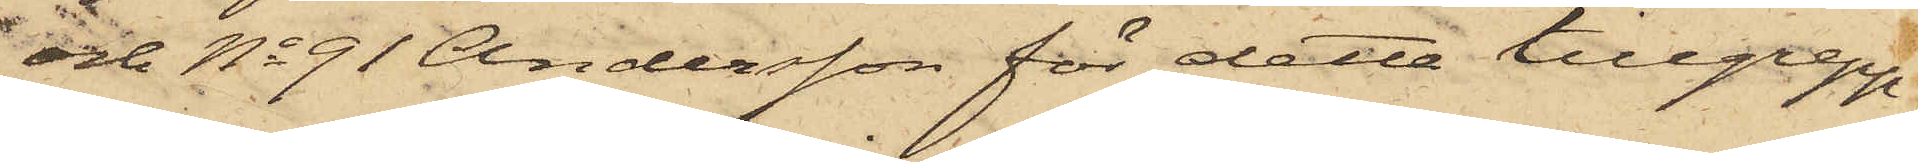och No 91 Andersson för detta tillgrepp
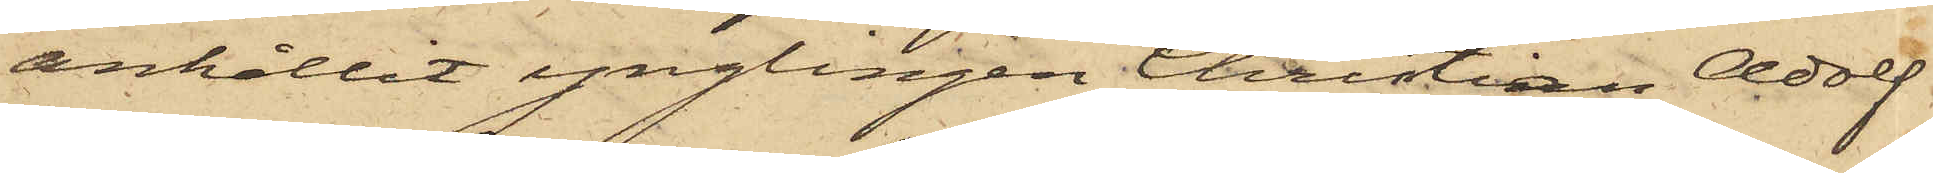anhållit ynglingen Christian Adolf
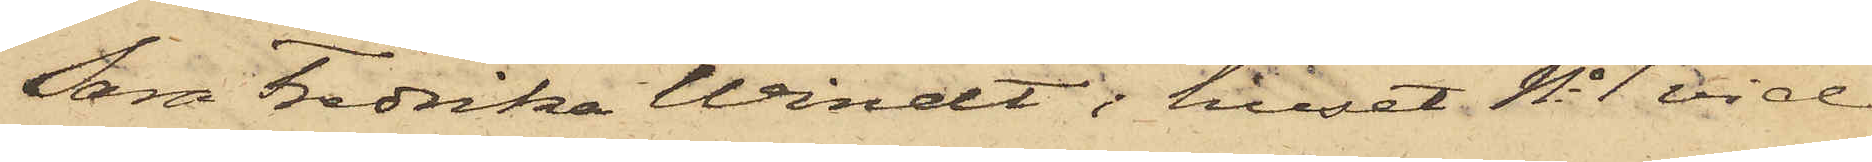Sara Fredrika Windt i huset No 1 vid
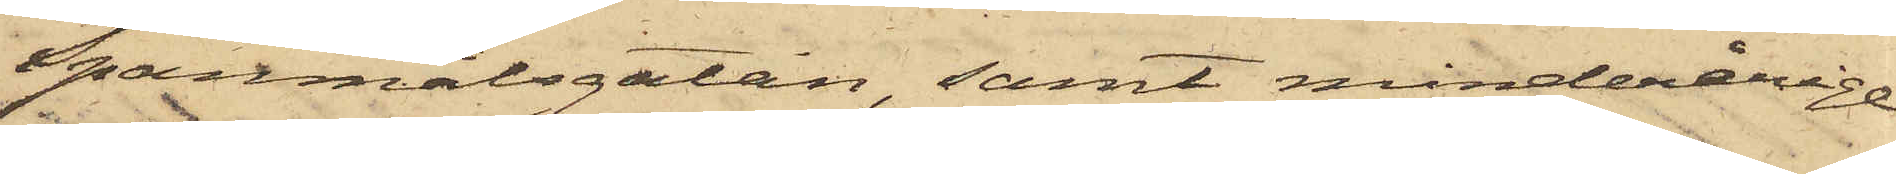Spanmålsgatan, samt minderårige
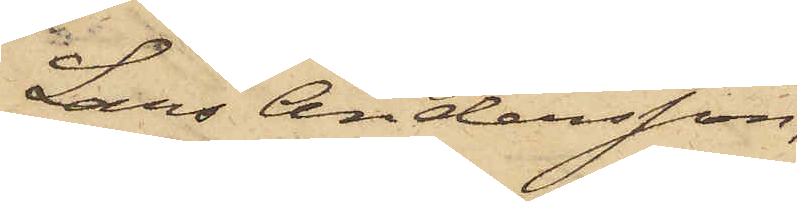Lars Andersson,
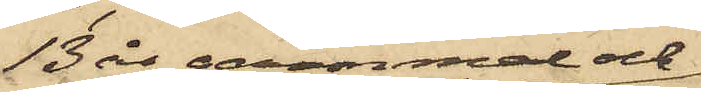13 ås gammal och
